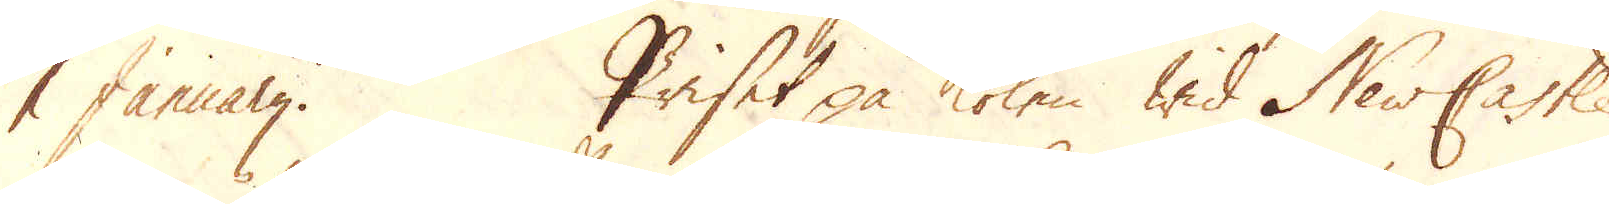1 Januarij. Priset på kolen wid NewCastle
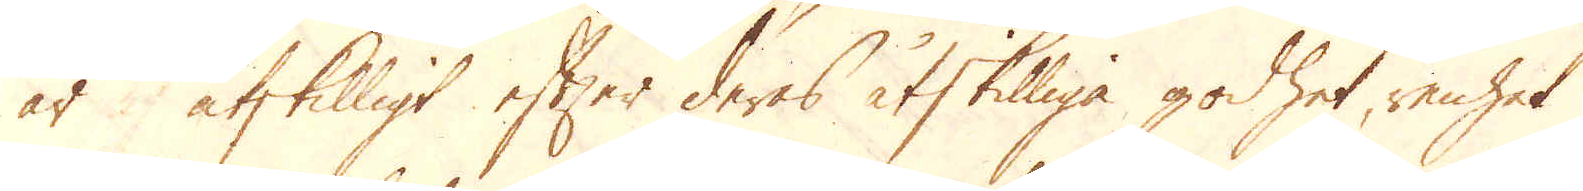är åtskilligt efter deras åtskilliga godhet, renhet
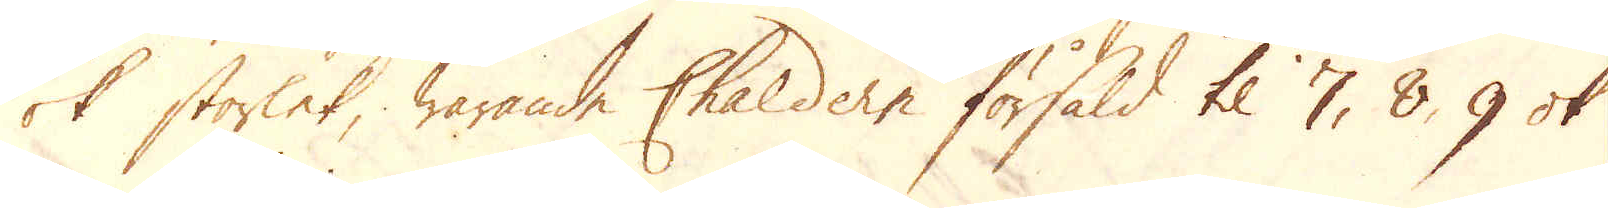ok storlek, warande Chaldern försåld til 7, 8, 9 ok
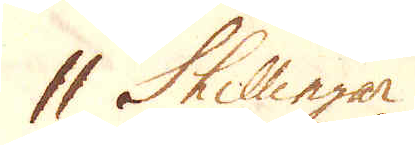11 Skillingar.
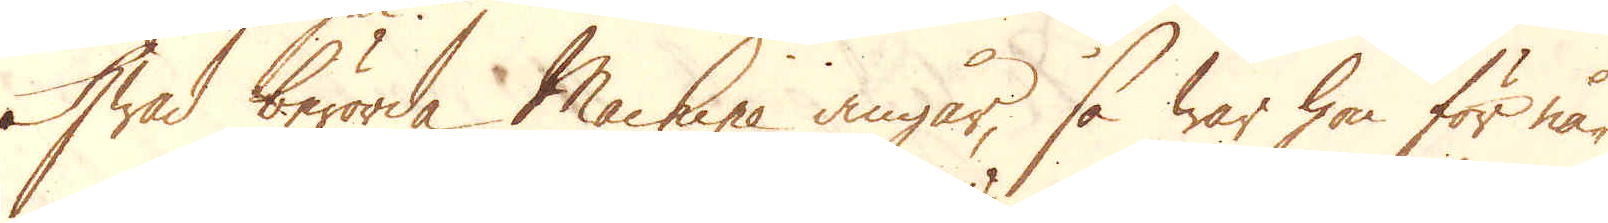Hwad berörda Machine angår, så war hon för nå-
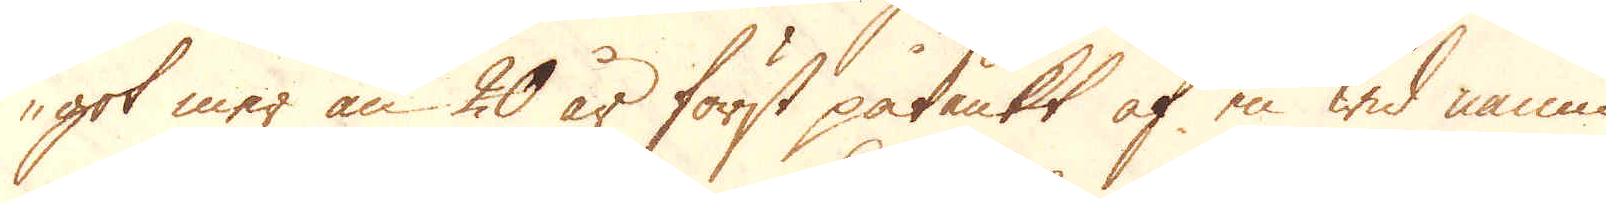got mer än 20 år först påtänkt af en wid namn
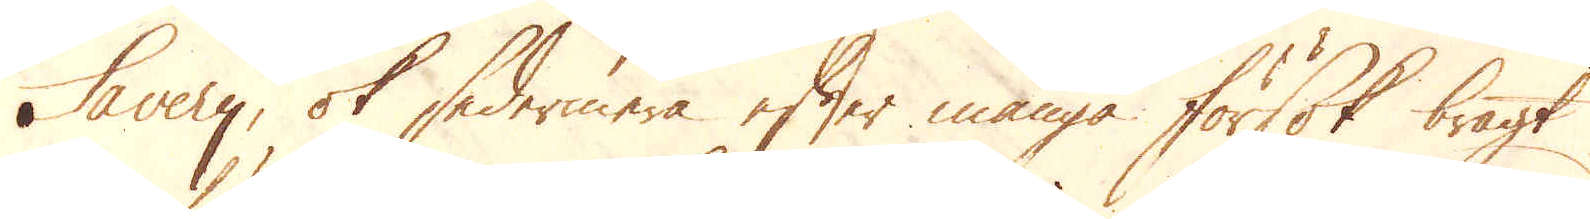Savery, ok sedermera efter många försök bragt
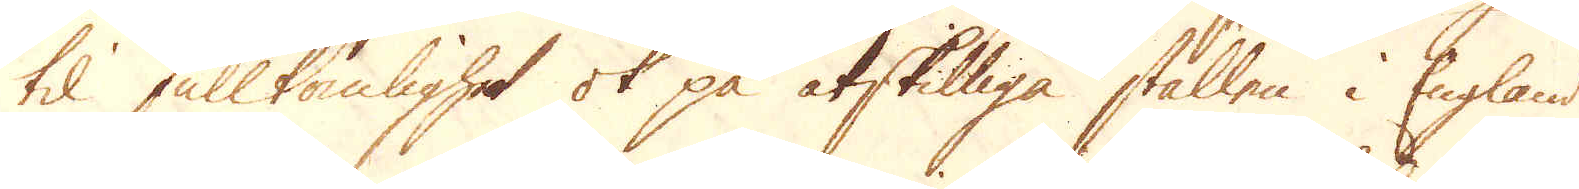til fullkomlighet ok på åtskilliga ställen i England
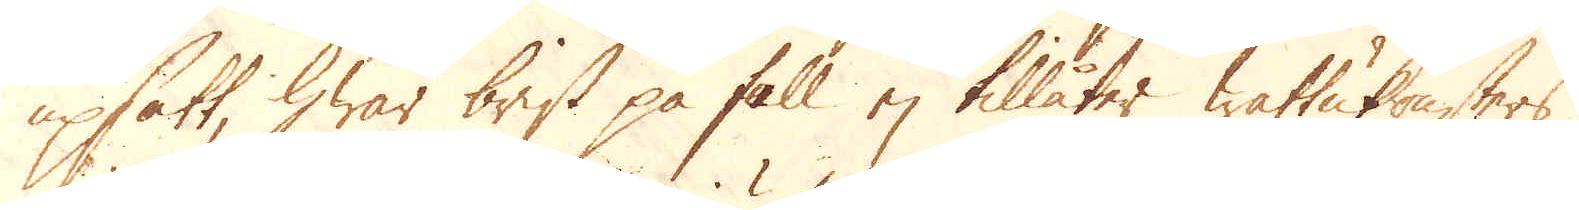upsatt, hwar brist på fall ej tillåter wattukonsters
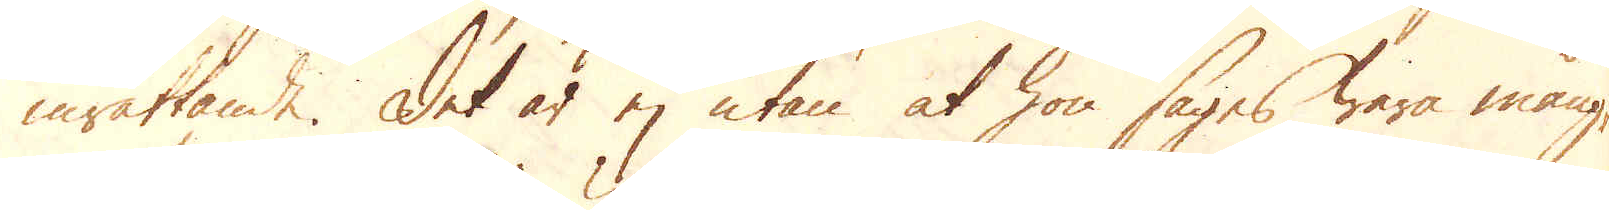inrättande. Det är ej utan at hon säges wara mång-
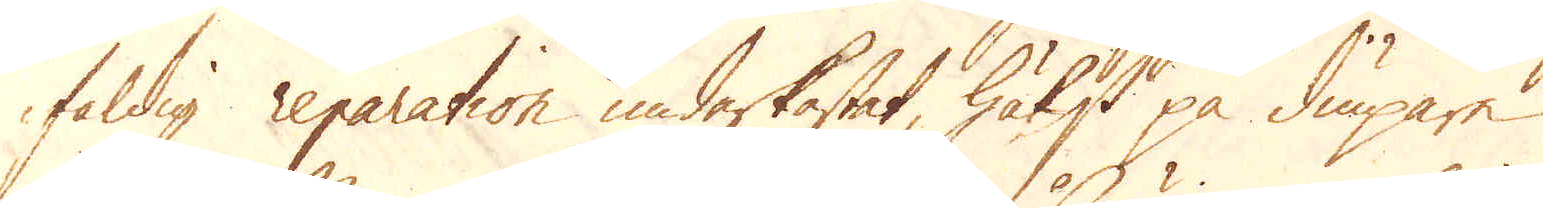faldig reparation underkastat, hälst på diupare
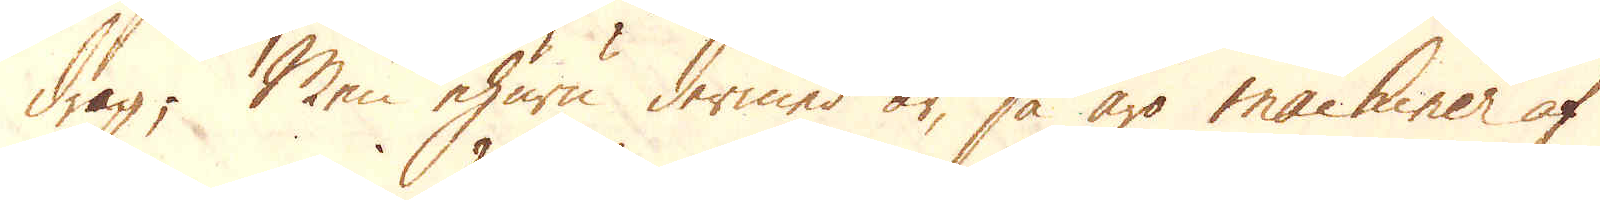drag; Men ehuru dermed är, så äro machiner af
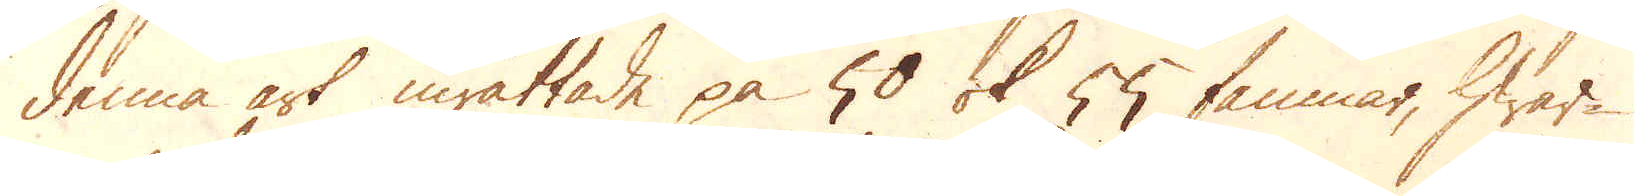denna art inrättade på 50 ok 55 famnar, hwar-
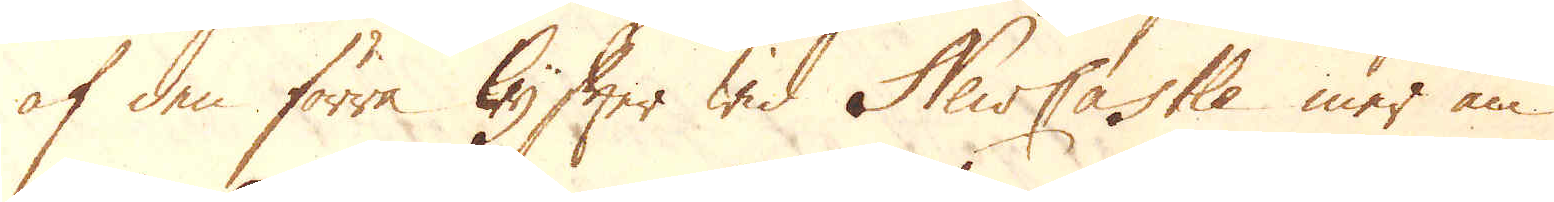af den förra lyfter wid NewCastle mer än
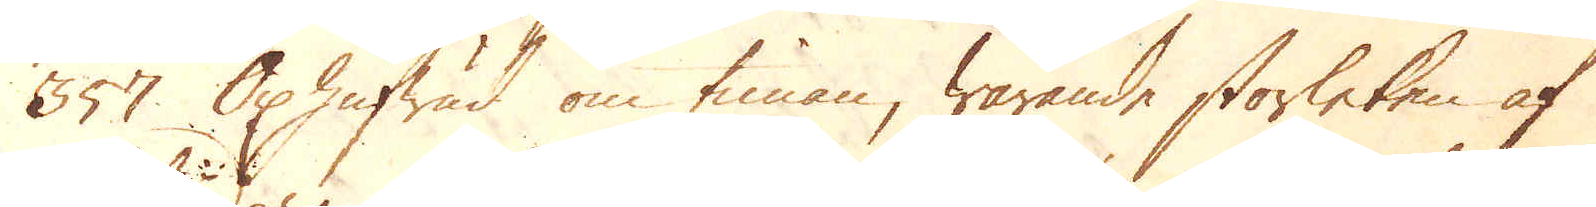357 Oxhufwud om timan, warande storleken af
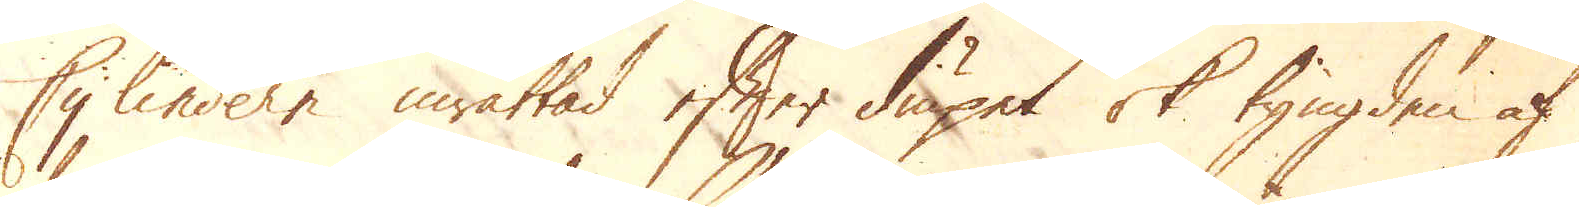Cylindern inrättad efter diupet ok tyngden af
